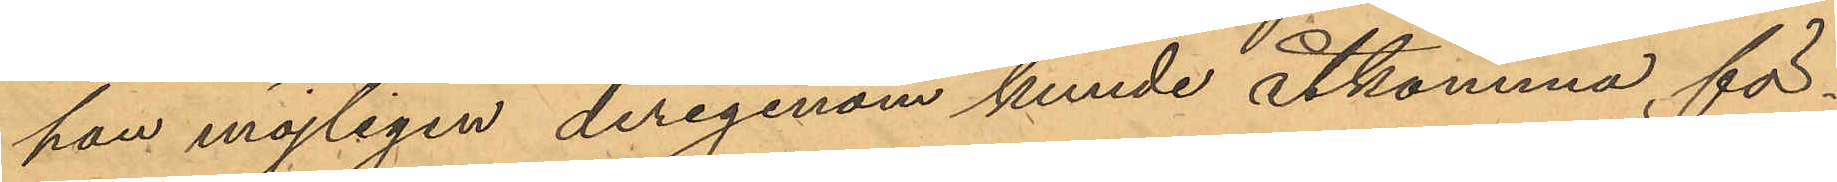han möjligen derigenom kunde åtkomma, för¬
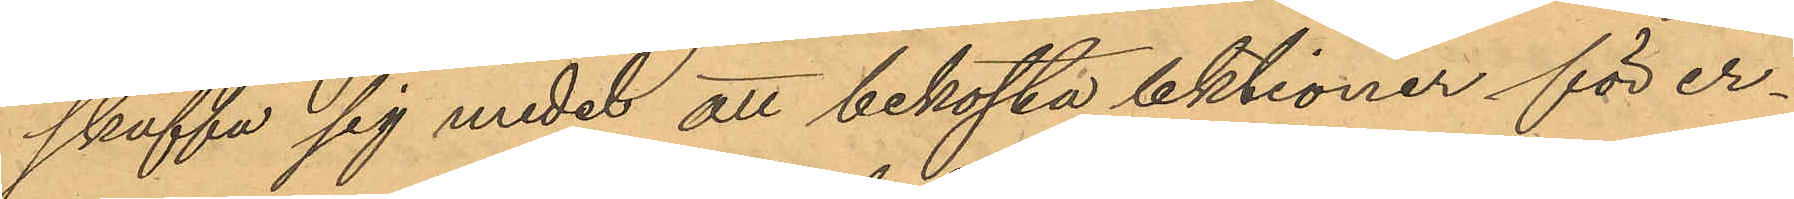skaffa sig medel att bekosta lektioner för er¬
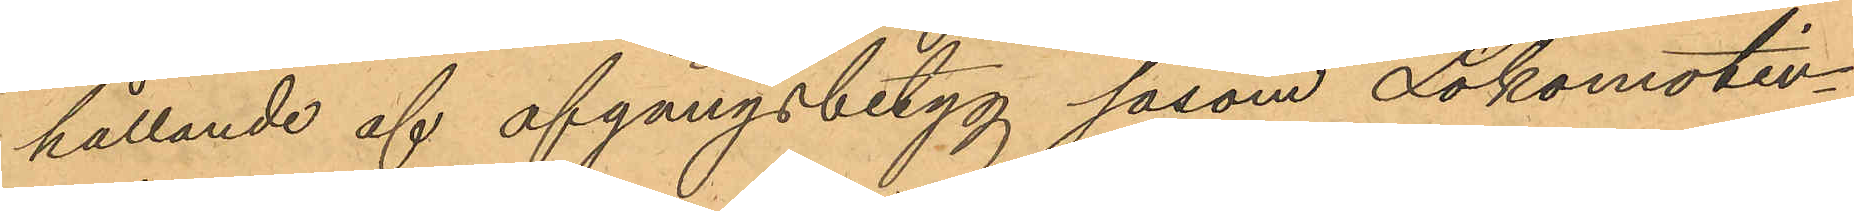hållande af afgångsbetyg såsom Lokomotiv¬
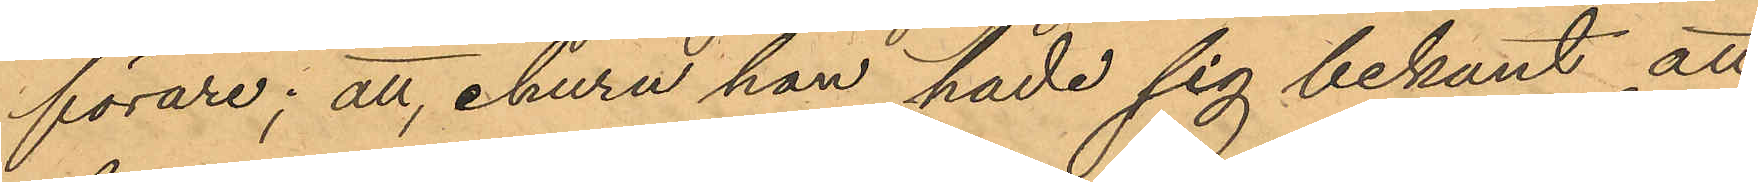förare; att, ehuru han hade sig bekant att
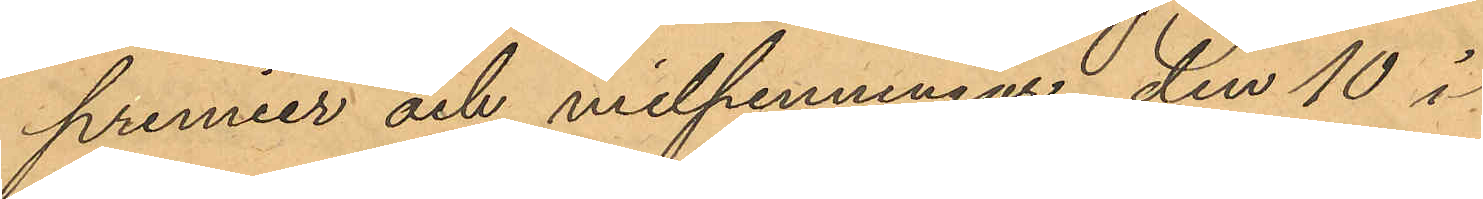premier och milpenningar den 10 i
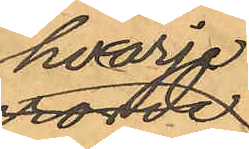hvarje
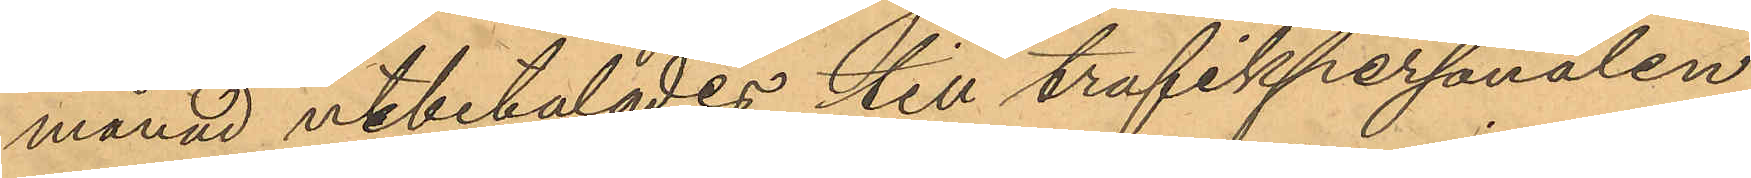månad utbetalades till trafikpersonalen,
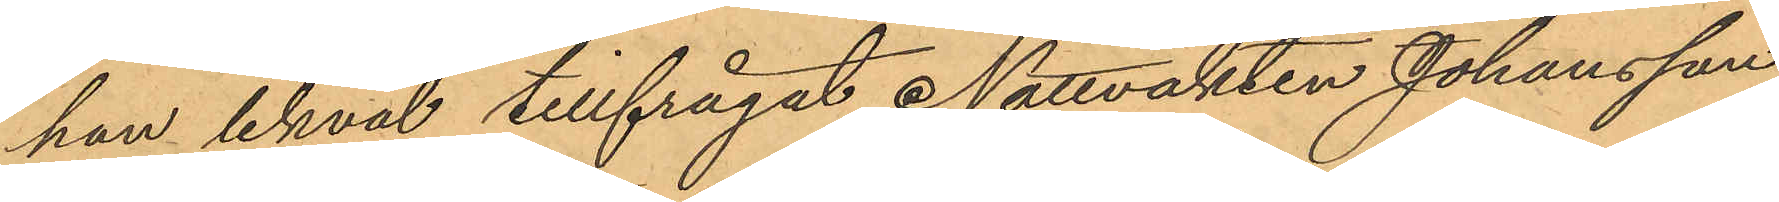han likväl tillfrågat Nattvakten Johansson
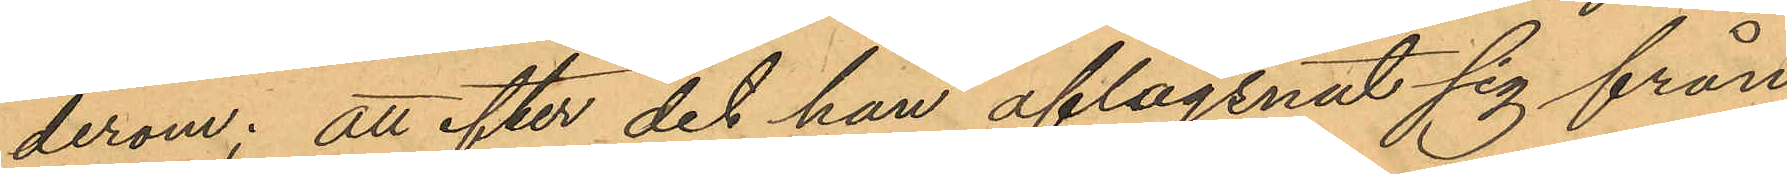derom; att efter det han aflägsnat sig från
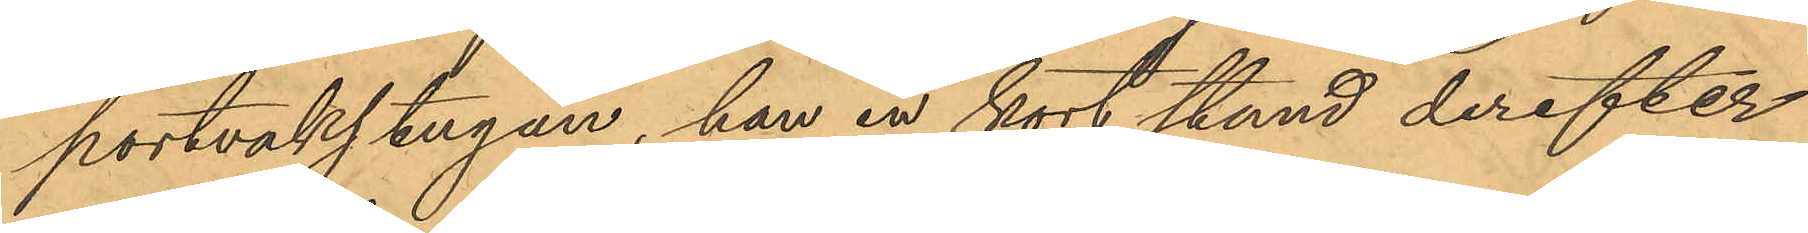portvakstugan, han en kort stund derefter
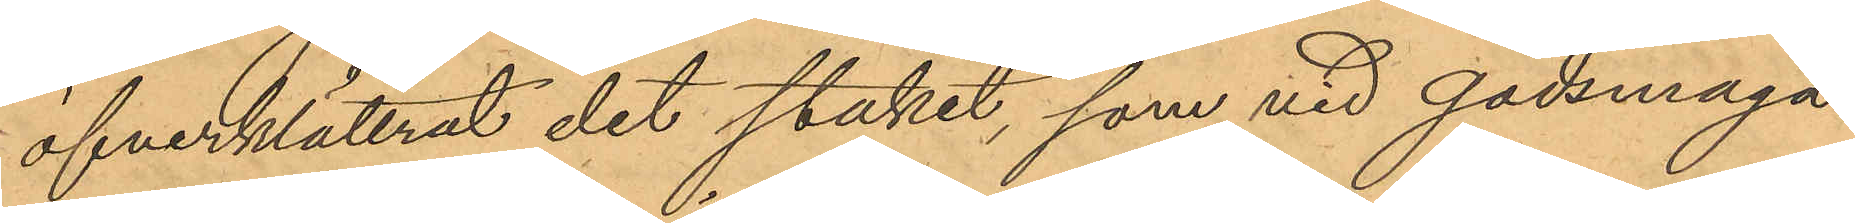öfverklättrat det staket, som vid godsmaga¬
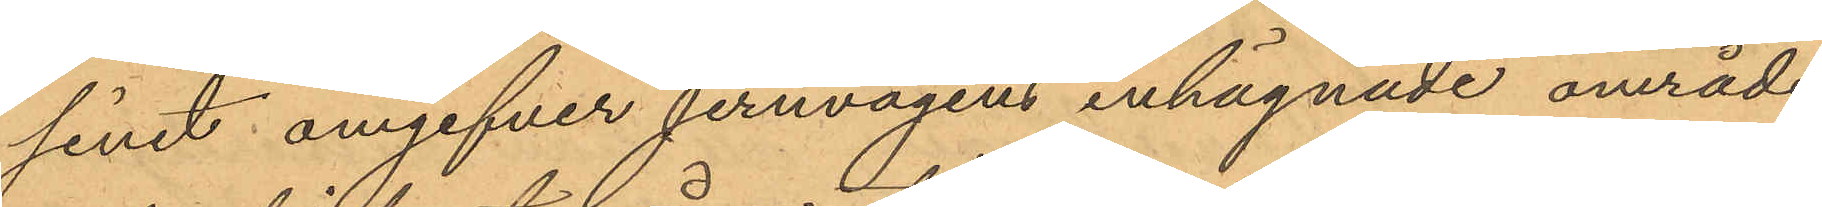sinet omgifver jernvägens inhägnade område,
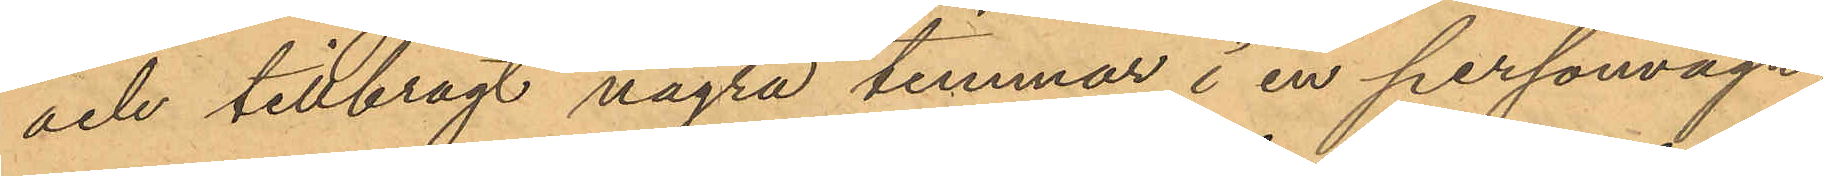och tillbragt några timmar i en personvagn,
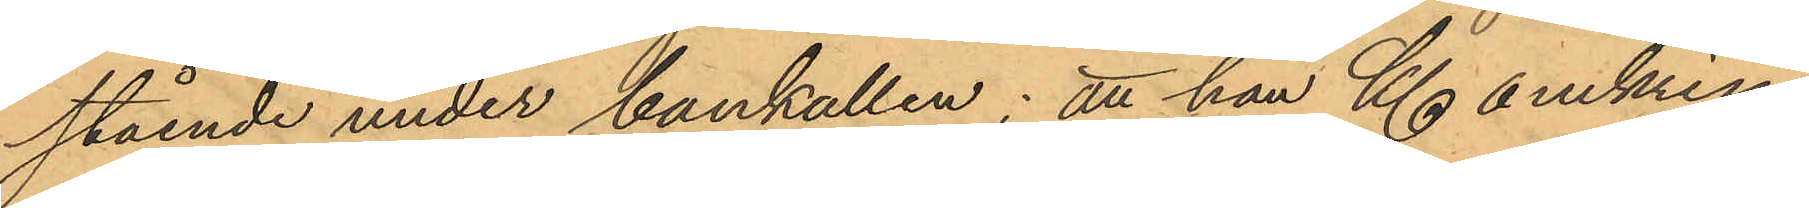stående under bankallen; att han Kl. omkring
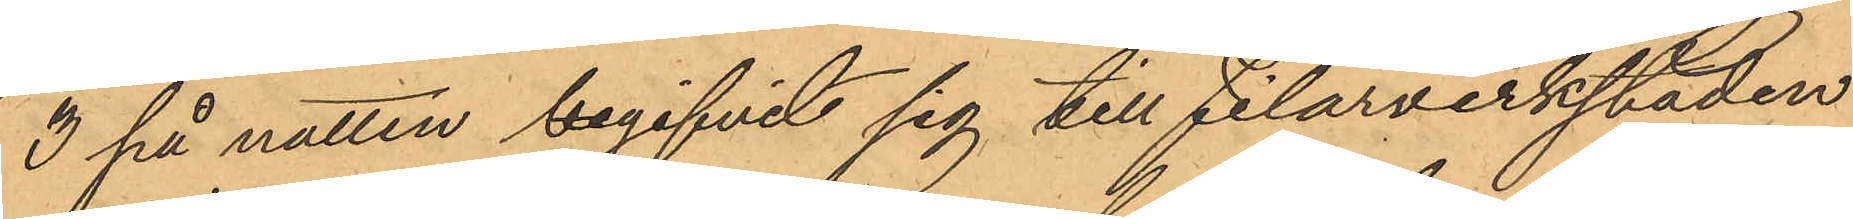3 på natten begifvit sig till filarverkstaden
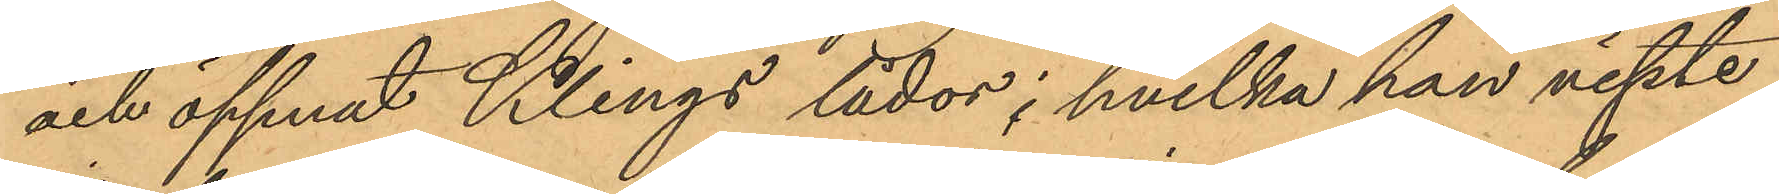och öppnat Klings lådor; hvilka han visste
